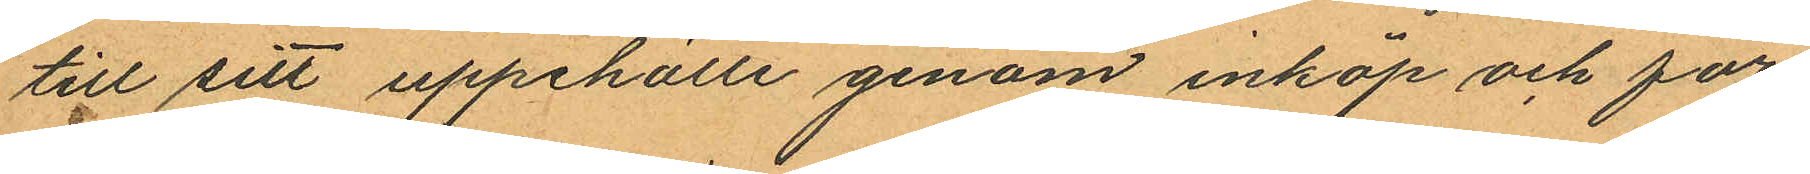till sitt uppehälle genom inköp och för¬
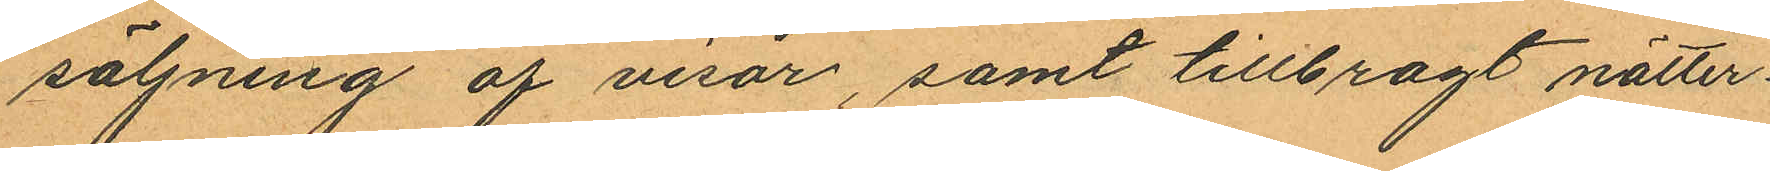säljning af visor, samt tillbragt nätter¬
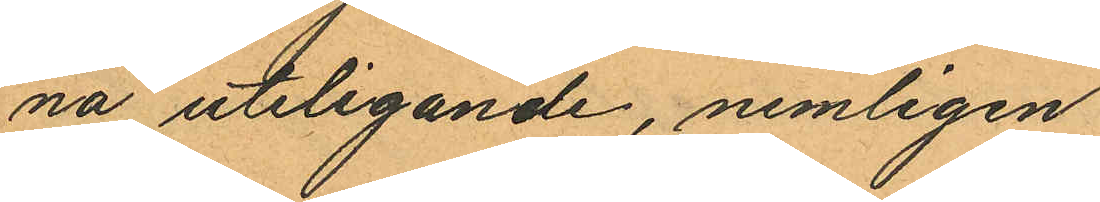na uteligande, nemligen
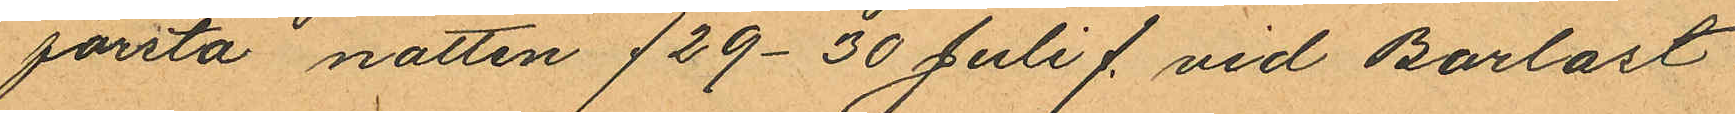första natten /29-30 Juli/ vid Barlast¬
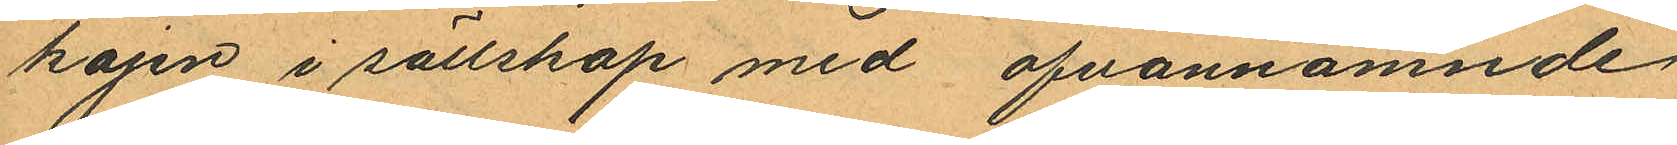kajen i sällskap med ofvannämnde
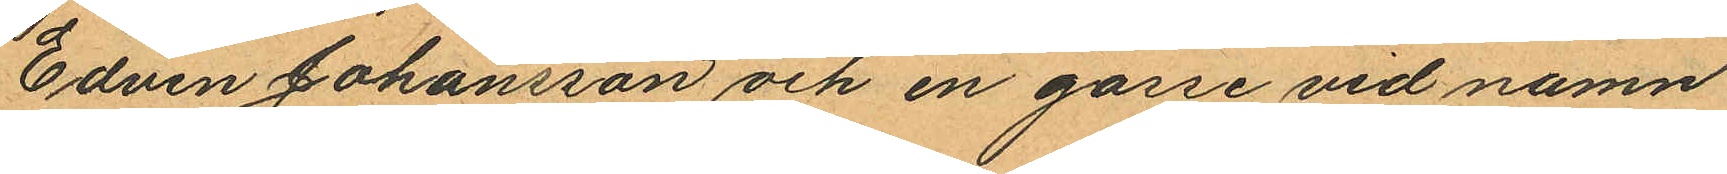Edvin Johansson och en gosse vid namn
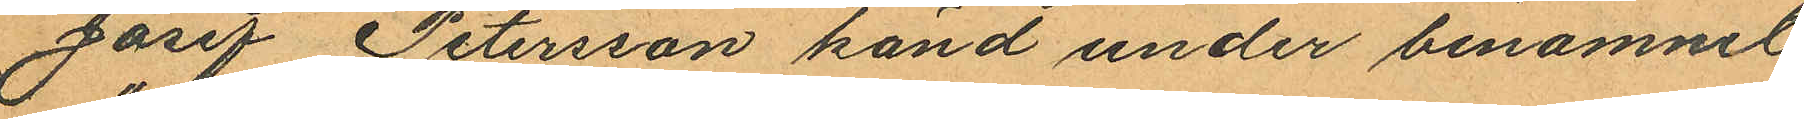Josef Petersson känd under benamnel
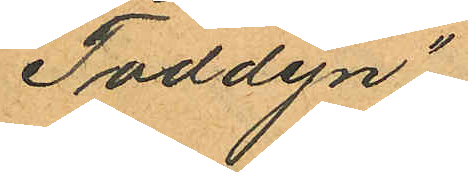"Toddyn";
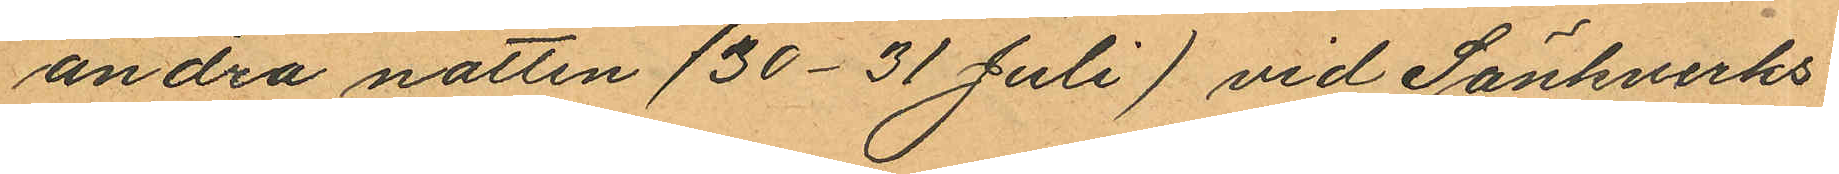andra natten (30-31 Juli) vid Sänkverks¬
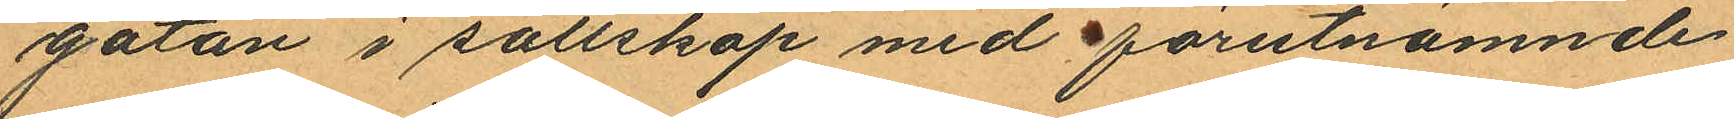gatan i sällskap med förutnämnde
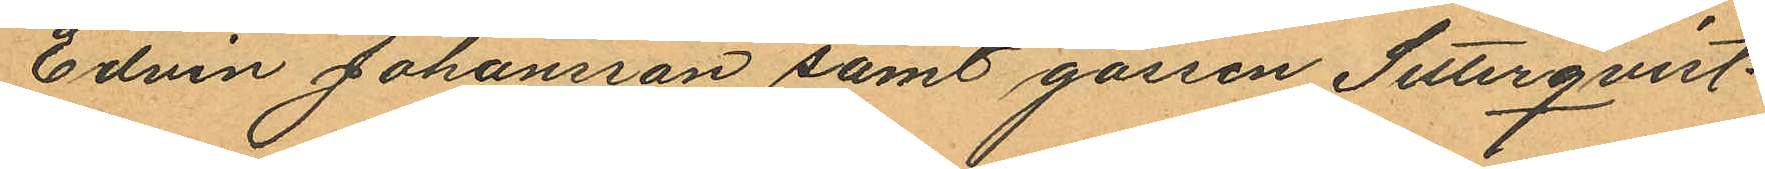Edvin Johansson samt gossen Setterqvist
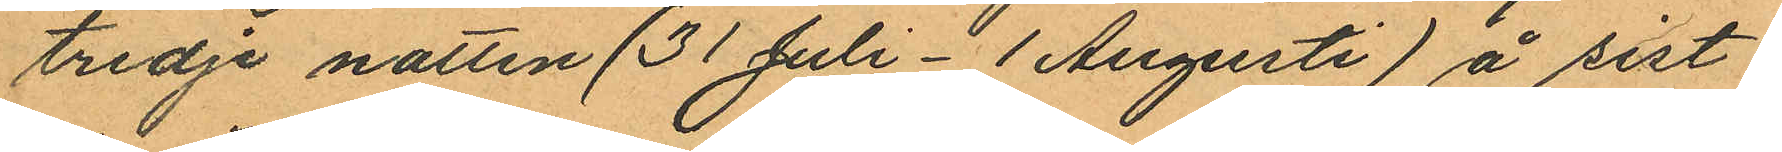tredje natten (31 Juli - 1 Augusti) å sist¬
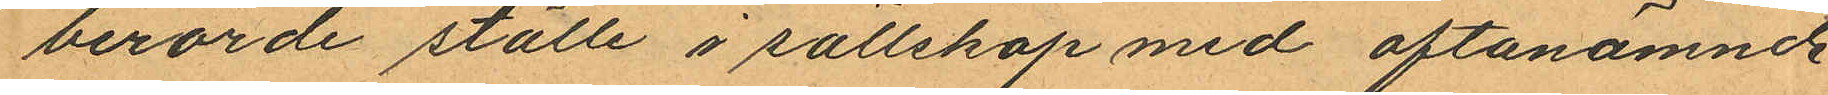berörde ställe i sällskap med oftanämnde
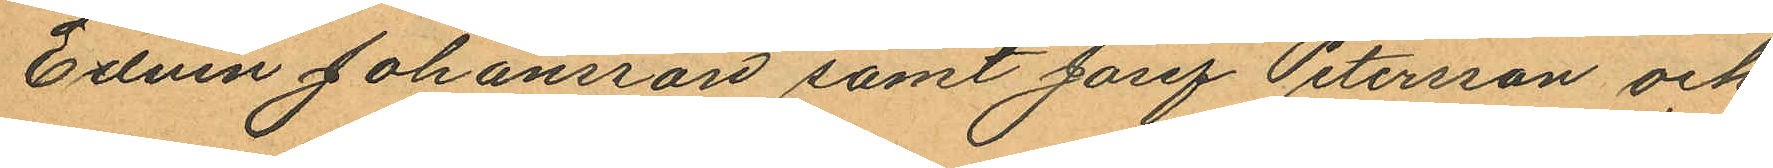Edvin Johansson samt Josef Petersson och
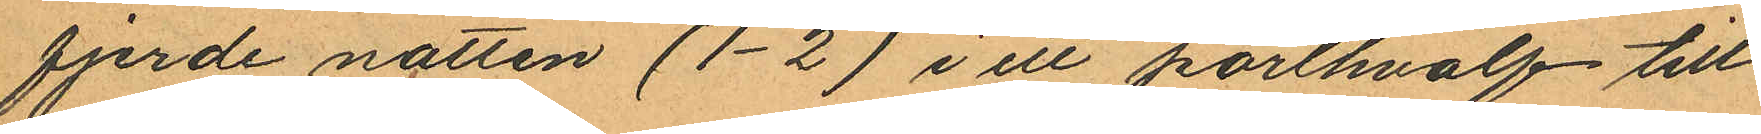fjerde natten (1-2) i ett porthvalf till
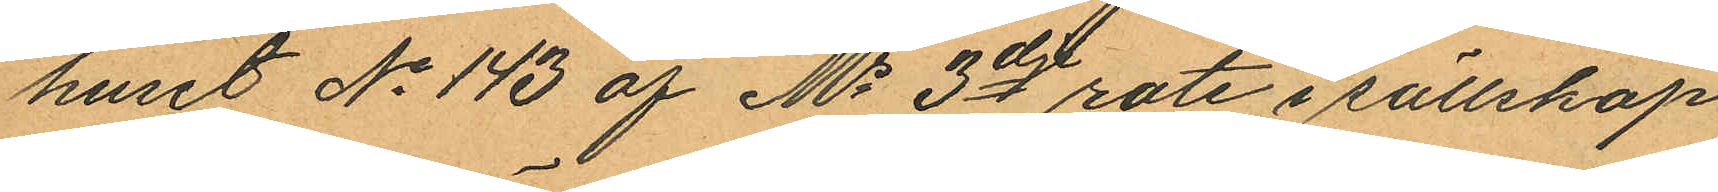huset No 143 af Ms 3dje rote i sällskap
